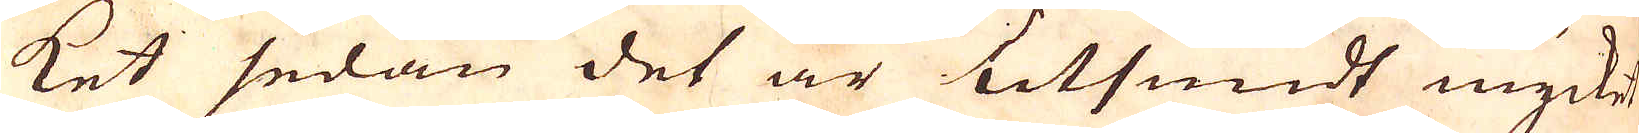ket sedan det är utsmidt mycket
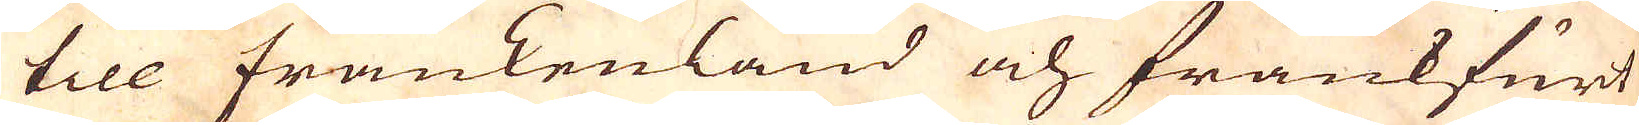till Frankenland och Frankfurt
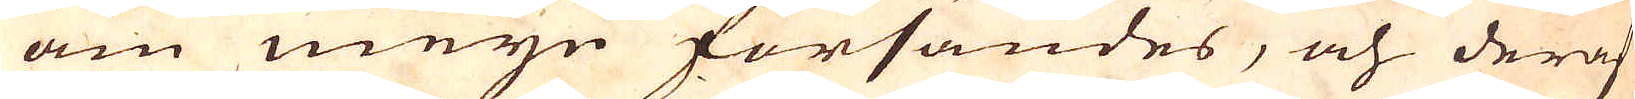am meyn försändes, och deraf
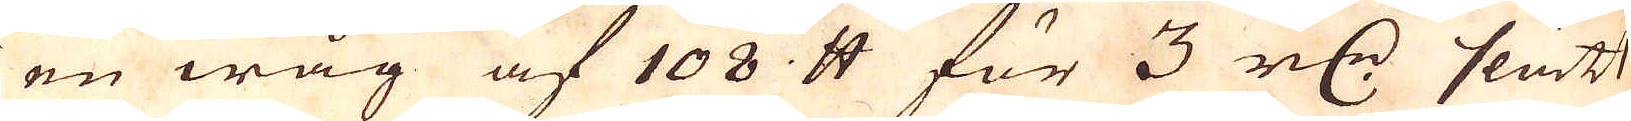en wåg af 108 skålpund för 3 r:dr slätt
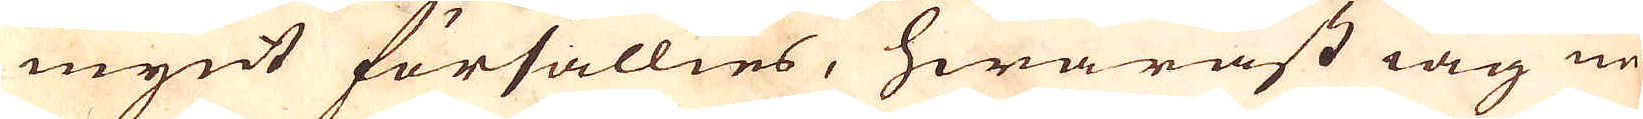mynt försällies, hwaräst iag nu
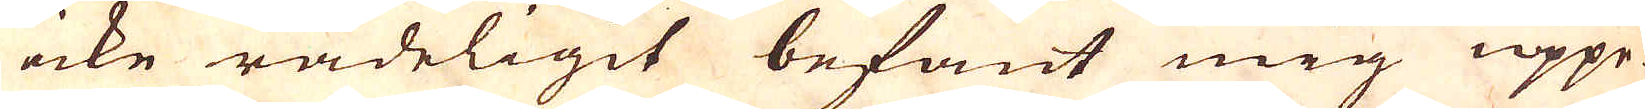icke rådeligit befant mig uppe-
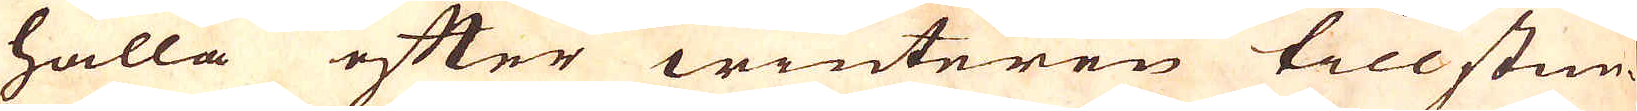hålla efter winteren tillstun-
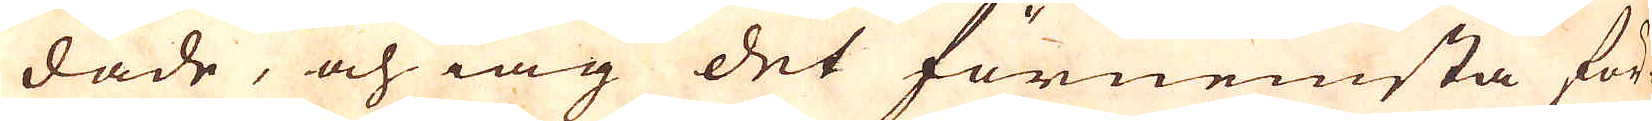dade, och iag det förnemsta för-
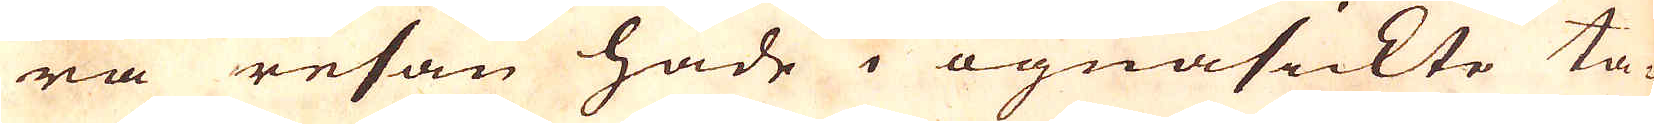ra resan hade i ögnasickte ta-
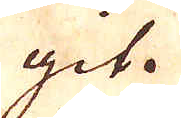git.
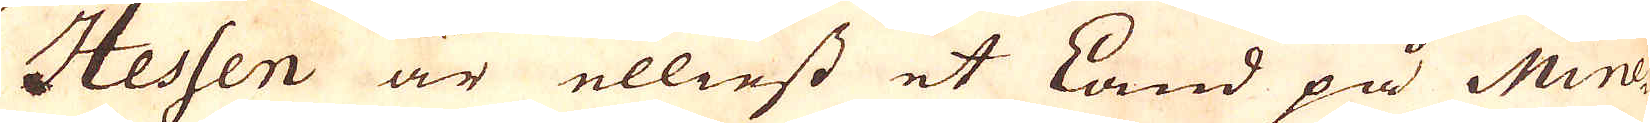Hessen är elliest et Land på Mine-
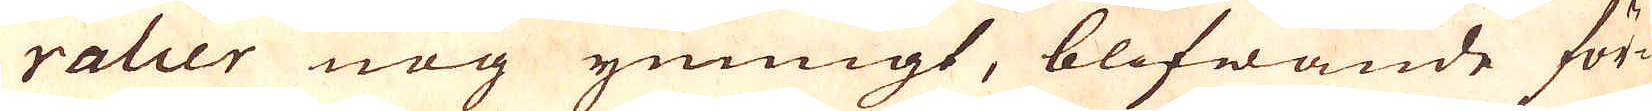ralier nog ymnigt, blifwande för-
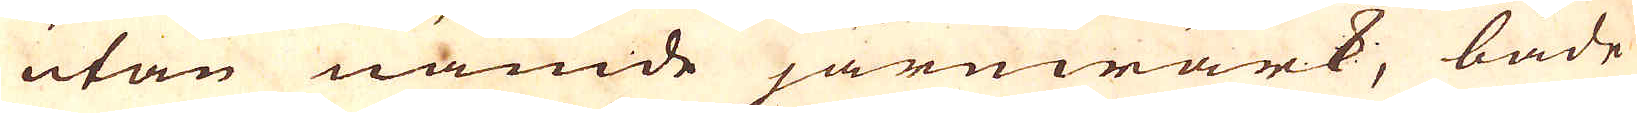utan nämde järnwärk, både
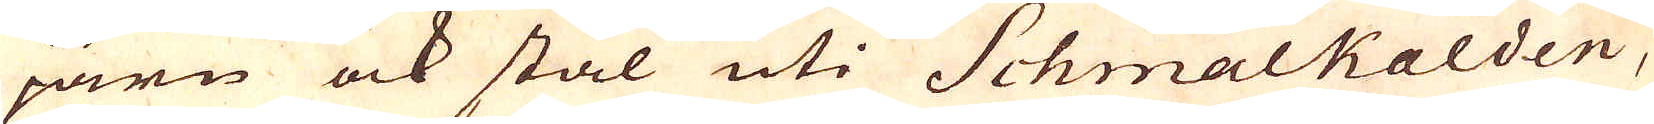järn ock stål uti Schmalkalden,
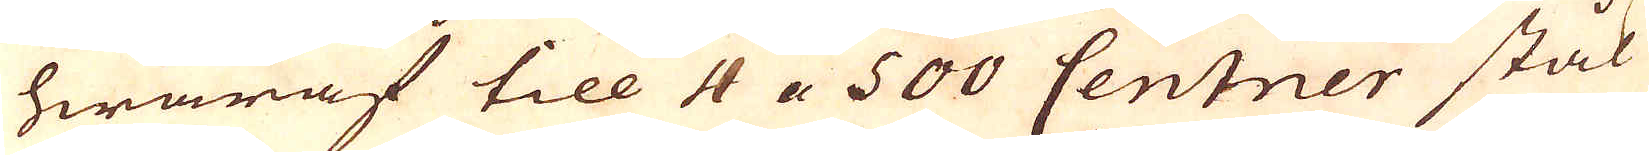hwaraf till 4 a 500 Centner stål
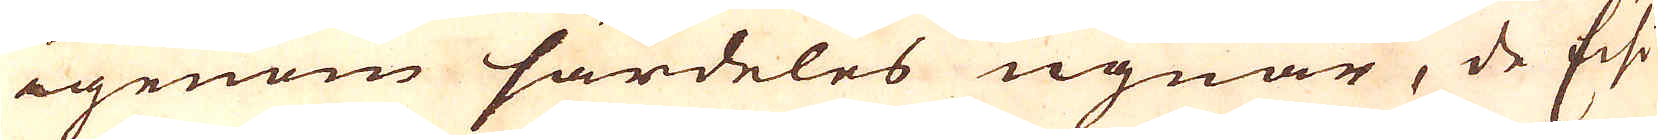igenom särdeles ugnar, de Eisi-
